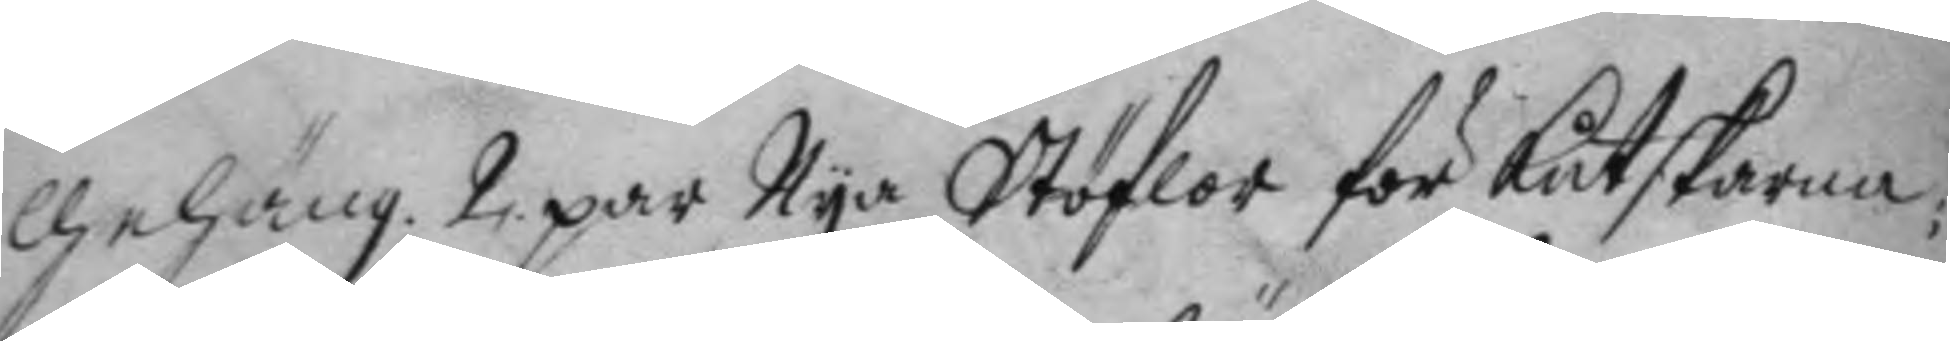gehäng. 2 par Nya Stöflor för kutskarna;
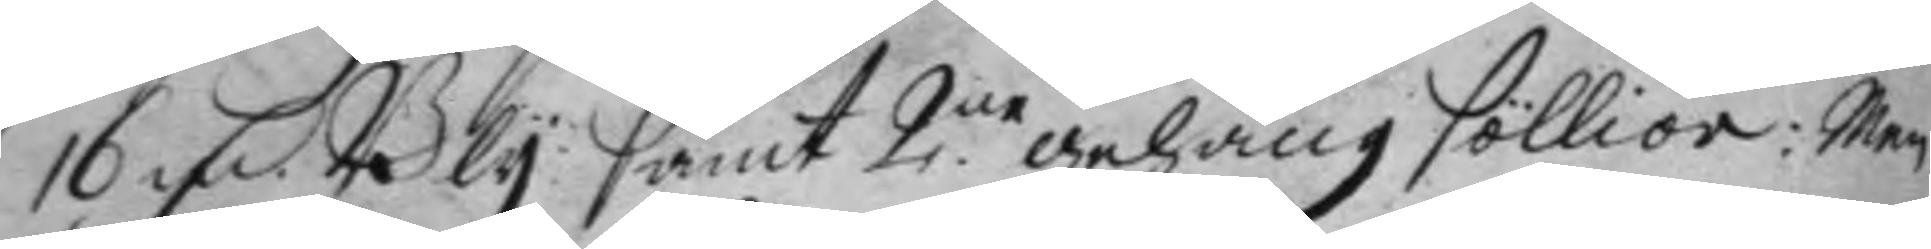16 Mrk Bly samt 2.ne gehäng föllior: men
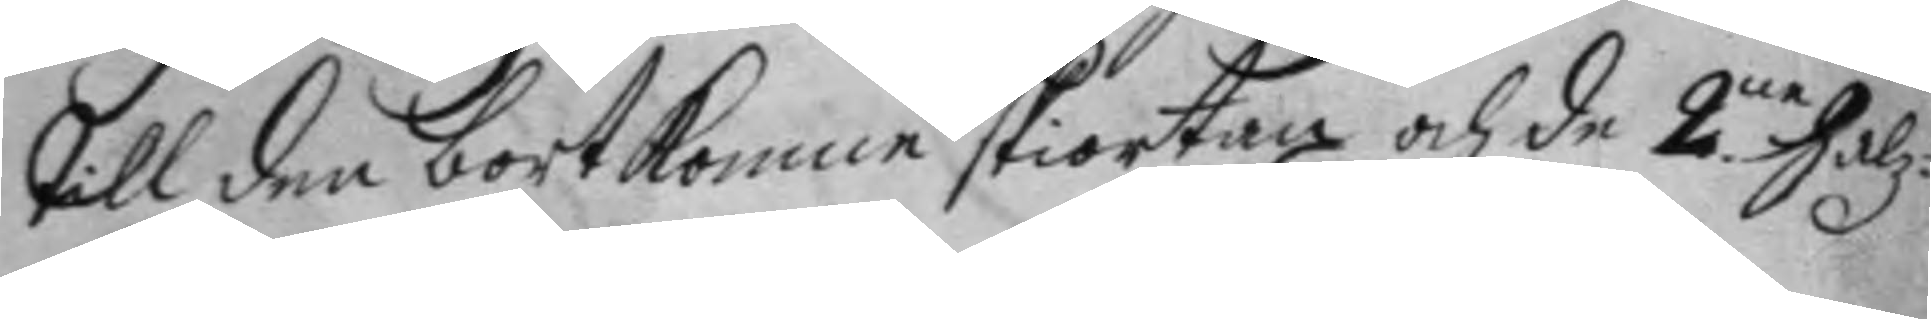till den bortkomne skiortan och de 2.ne Halz¬
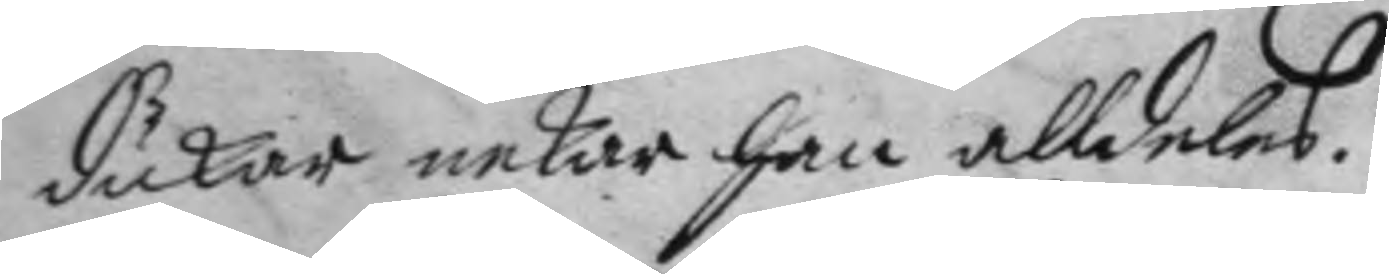dukar nekar han alldeles.
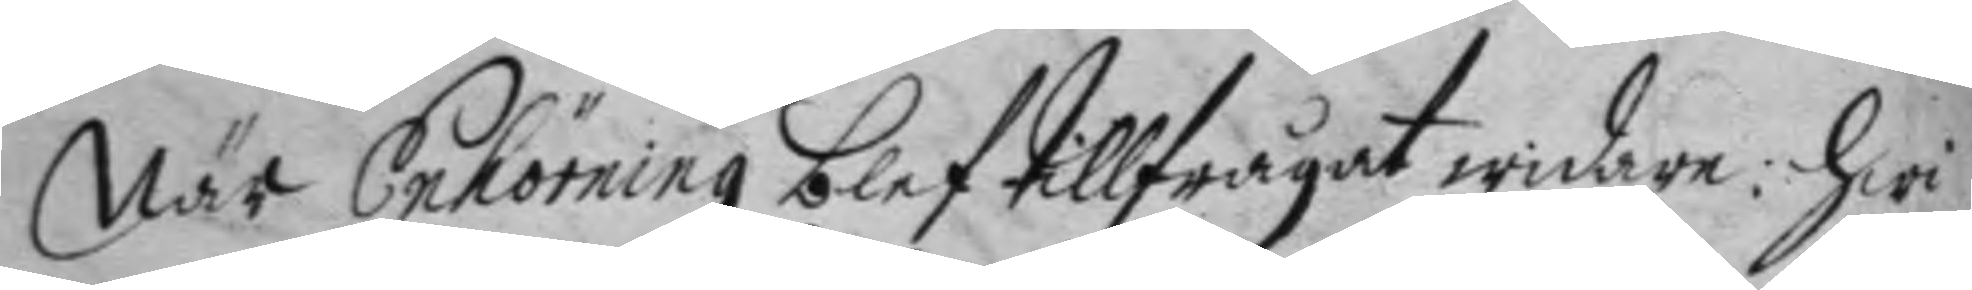När Enhörning blef tillfrågat widare: hwi
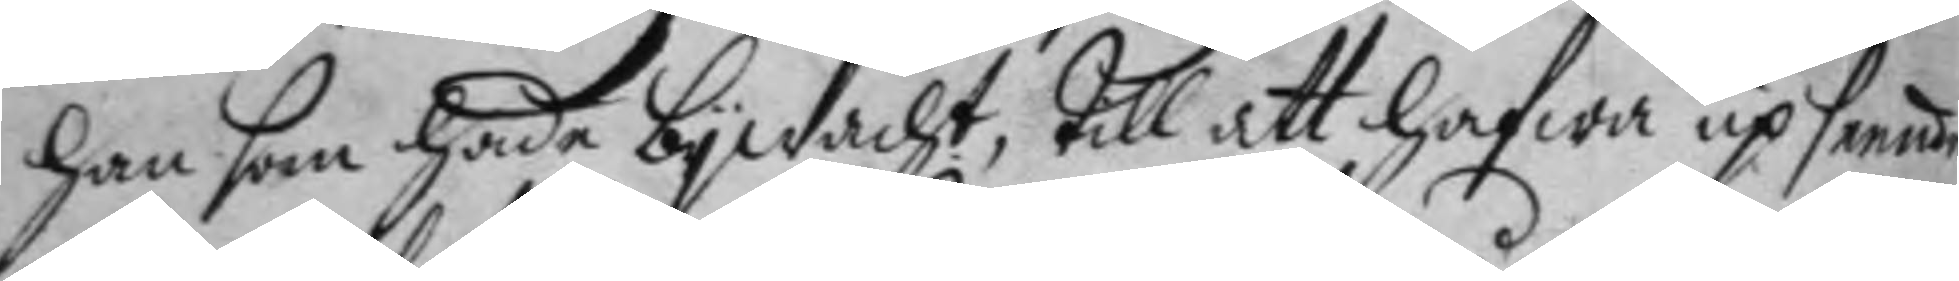han som hade bywacht, till att hafwa up seende 
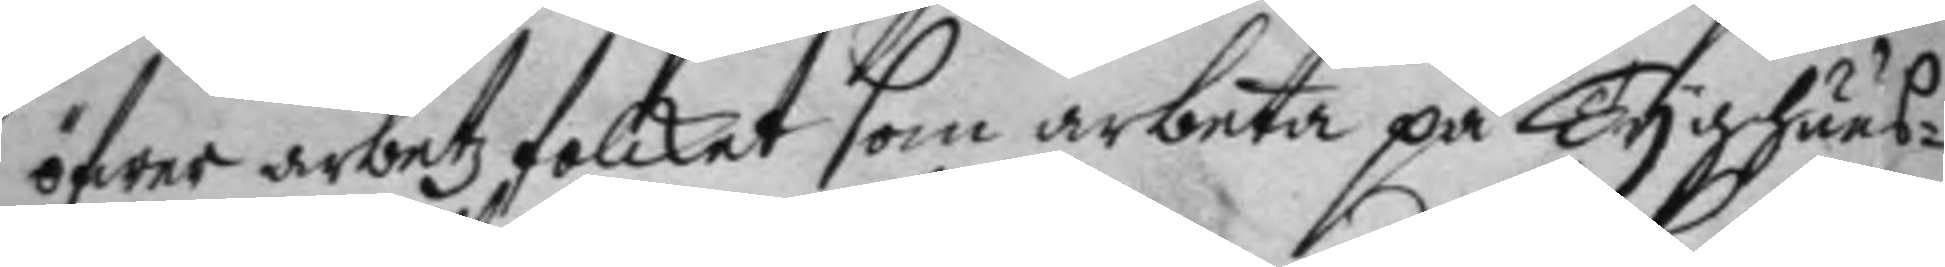öfwer arbetz folcket som arbeta på tyghuus¬
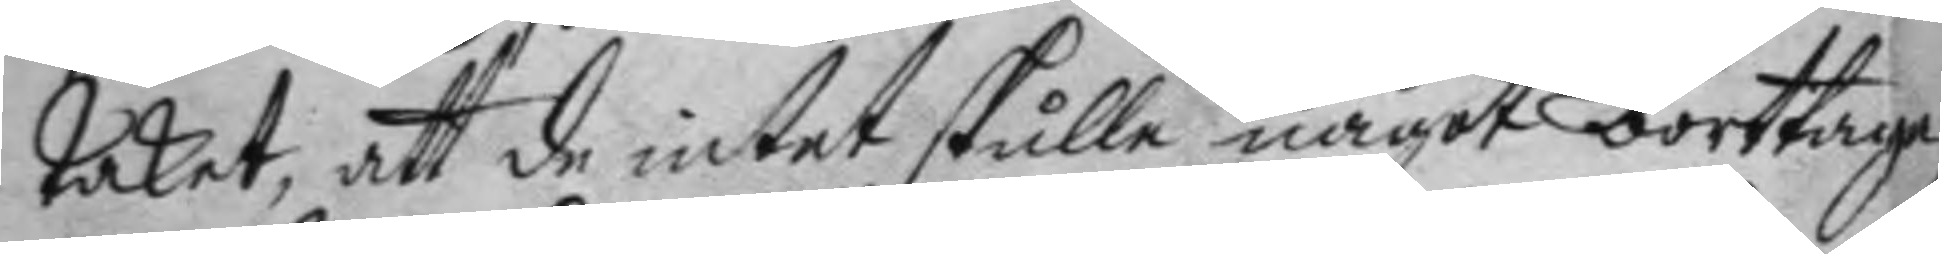taket, att de intet skulle något borttaga
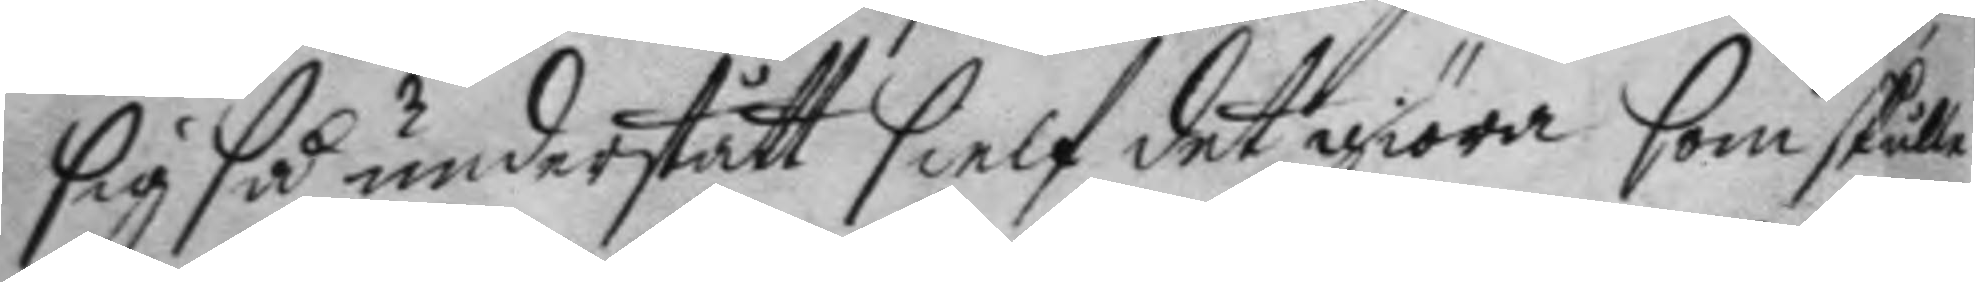sig så understått sielf det giöra som skulle
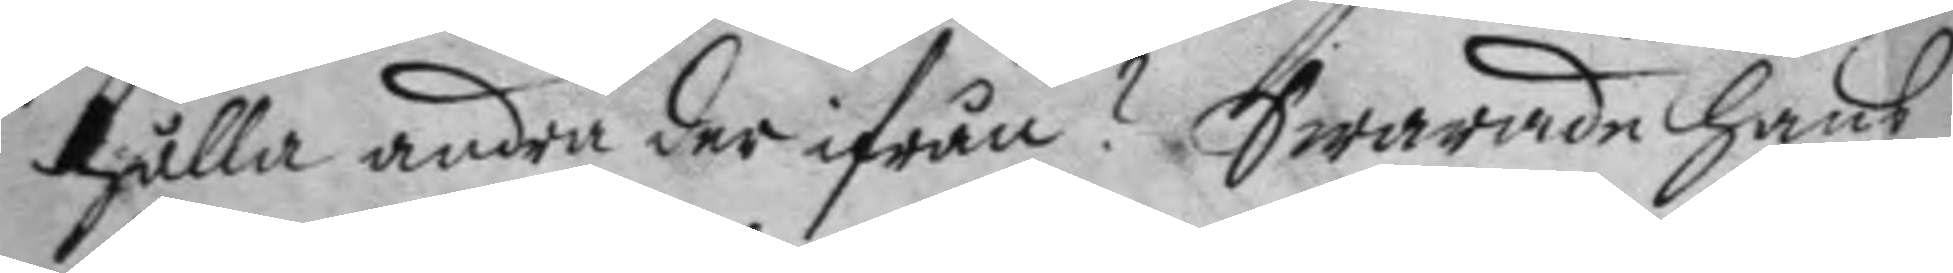hålla andra der ifrån? Swarande hans
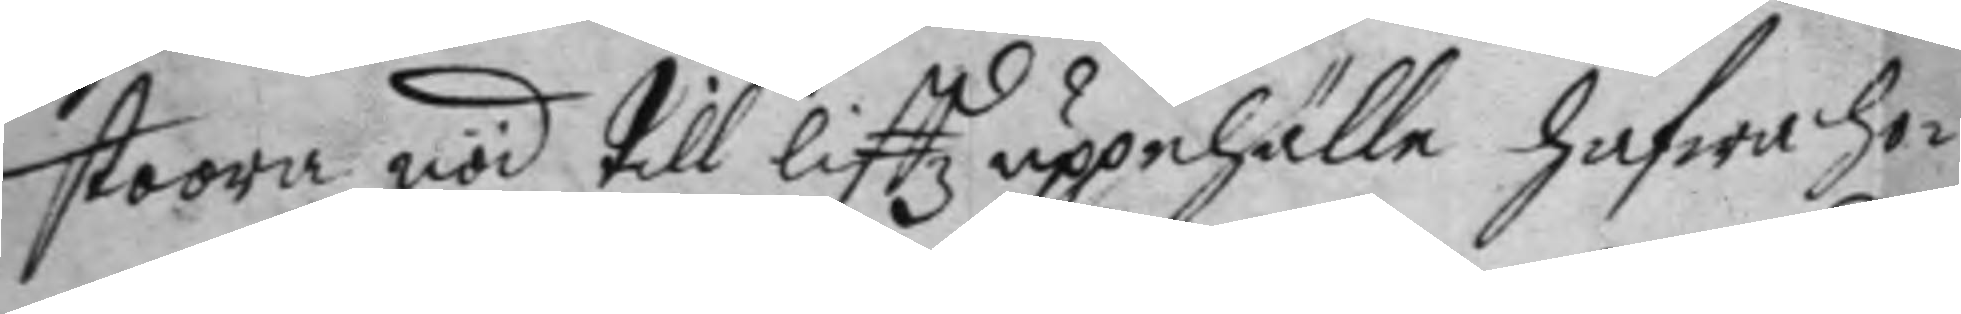stoora nöd till liffz uppehälle hafwa ho¬
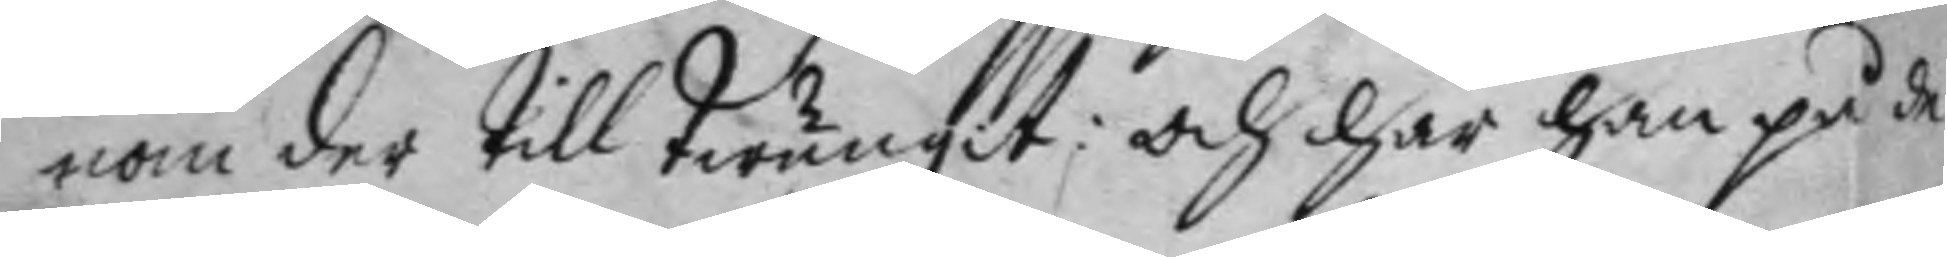nom der till twungit: och har han på de
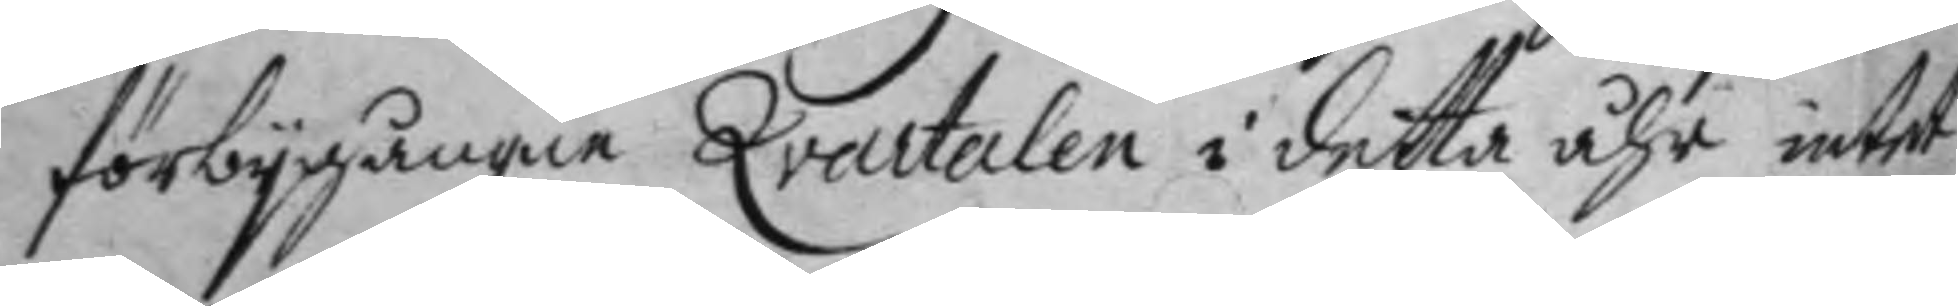förbygångne Qvartalen i detta åhr intet
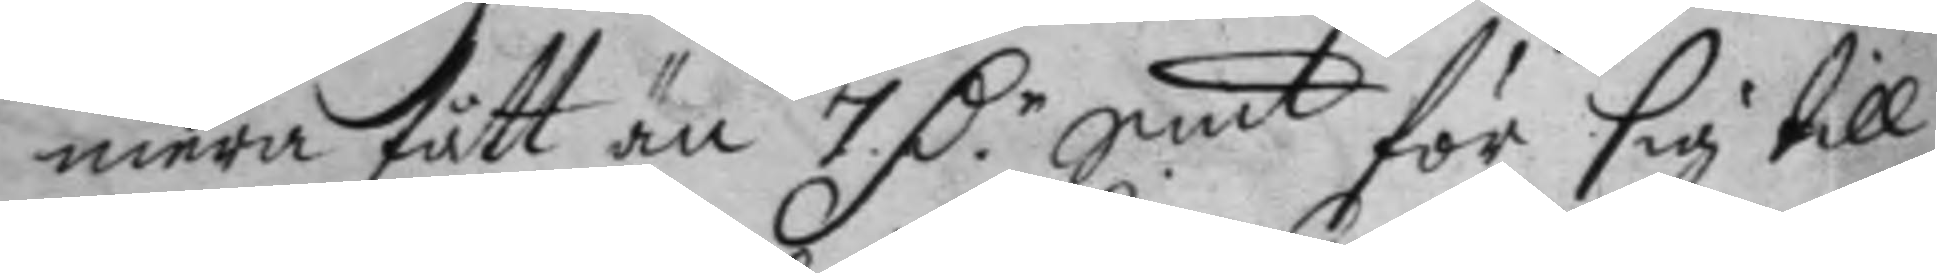mera fått än 7 D.r Smt för sig till
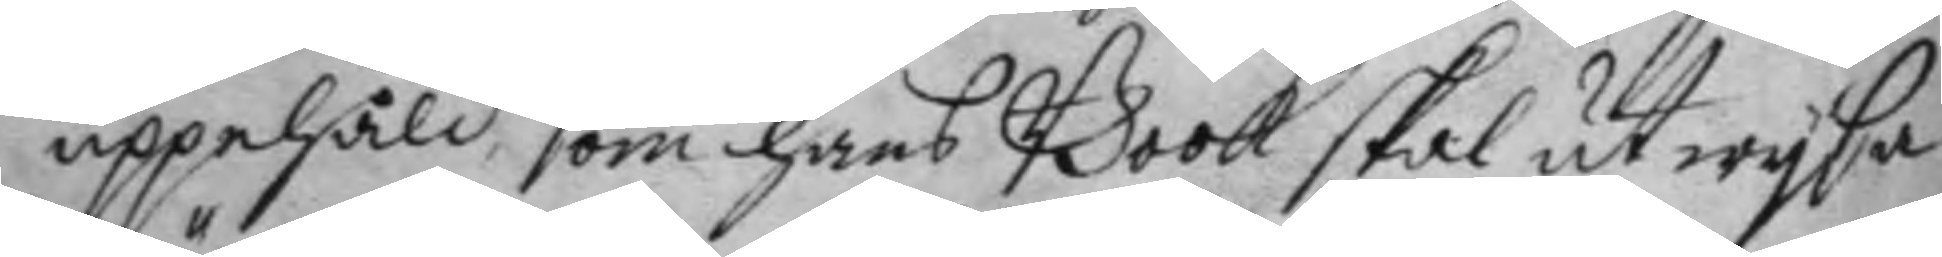uppehåld som hans Book skal utwysa.
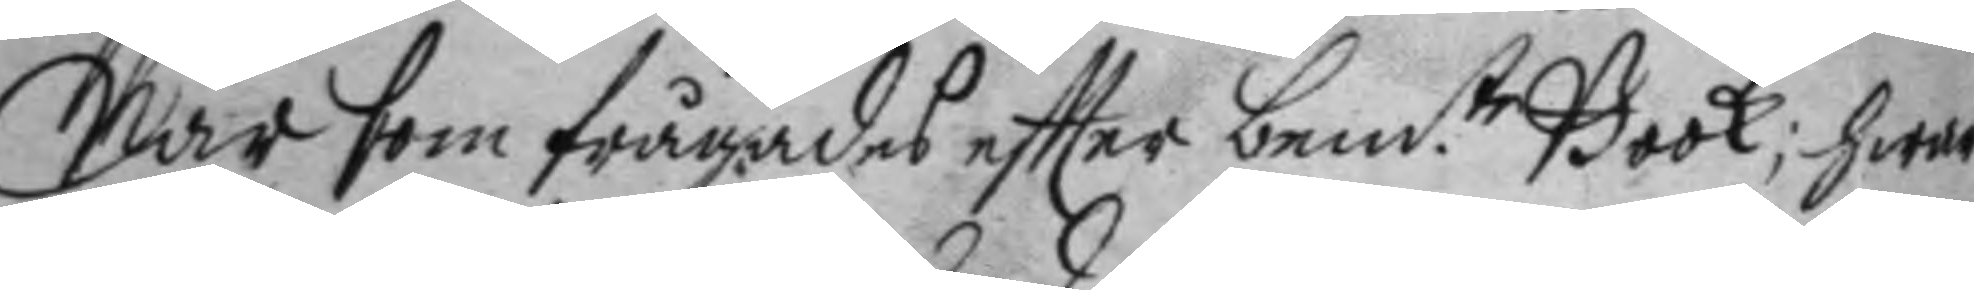När som frågades eftter bem.te Book; hwar
